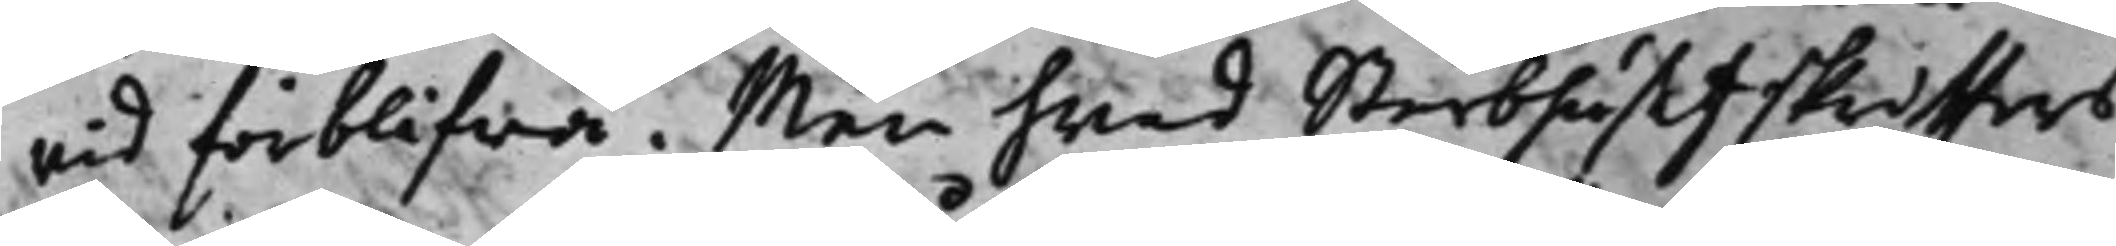vid förblifwa. Men hwad Sterbhusetz skriffters
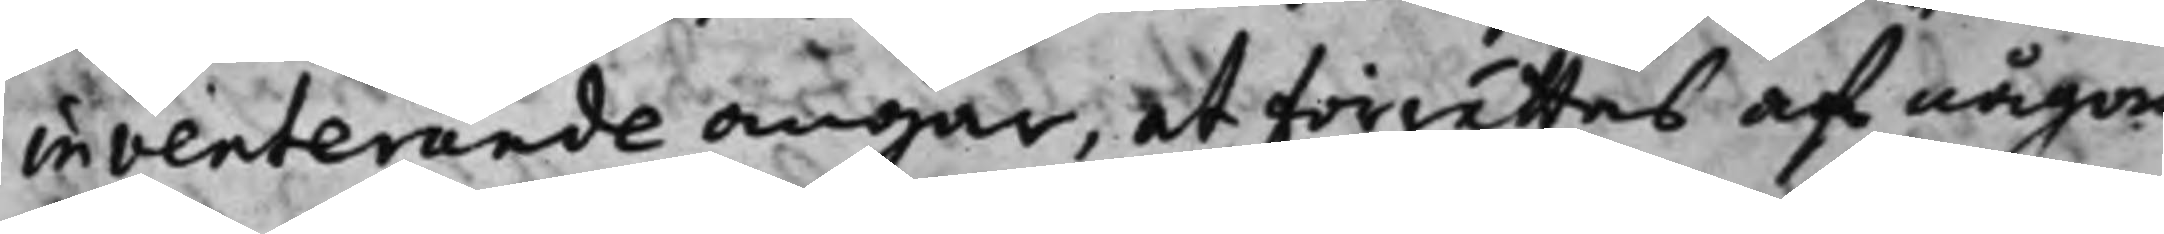inventerande angår, at förrättas af någon
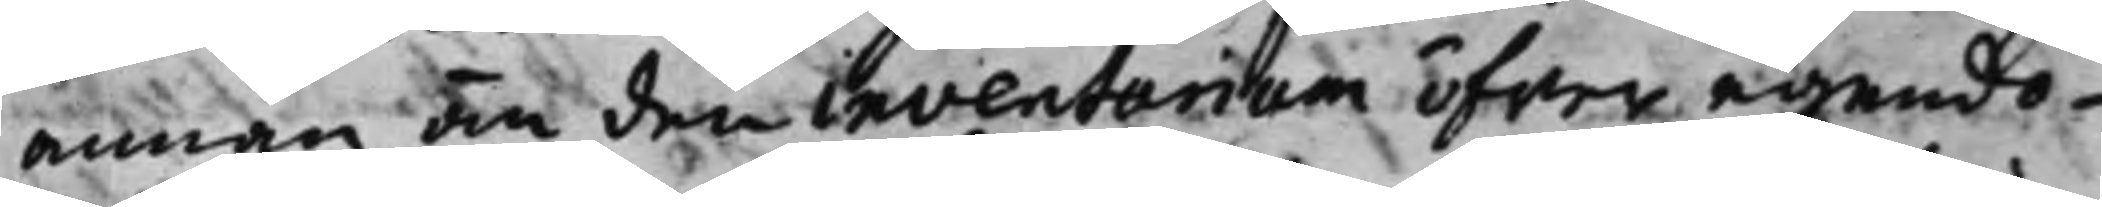annan än den inventarium öfwer egendo¬
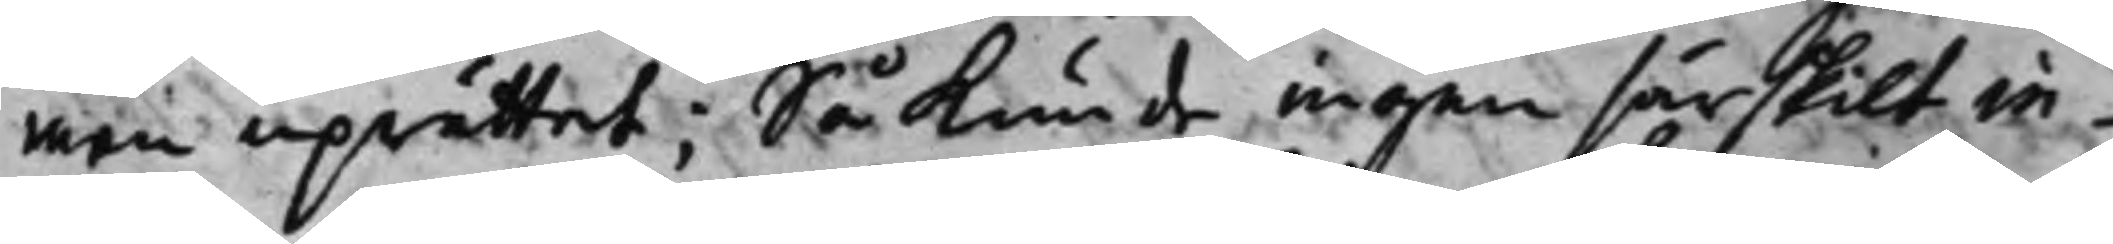men uprättat; Så kunde ingen särskilt in¬
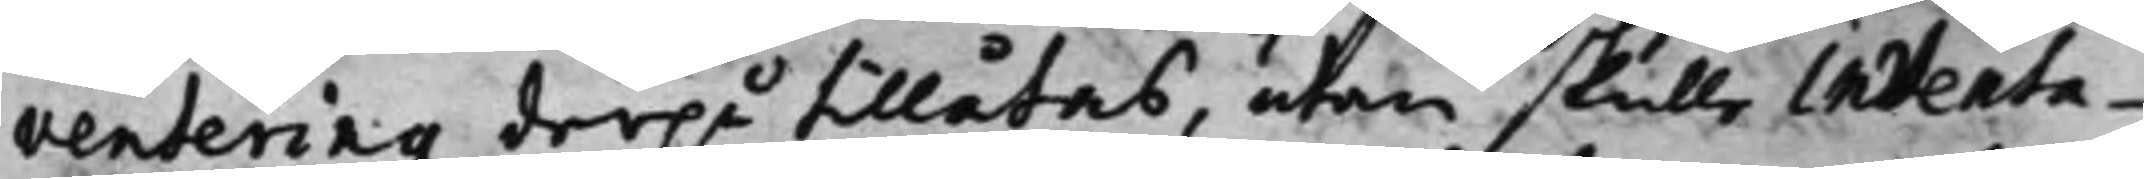ventering derpå tillåtas, utan skulle inventa¬
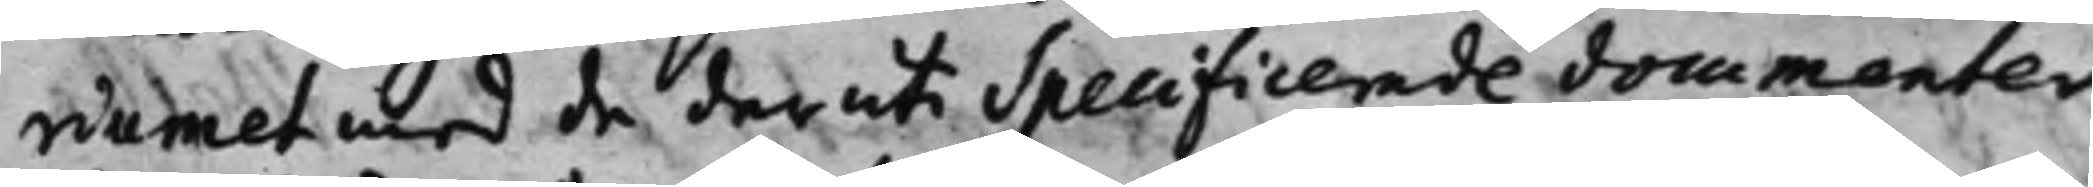riumet med de deruti Specificerade documenter
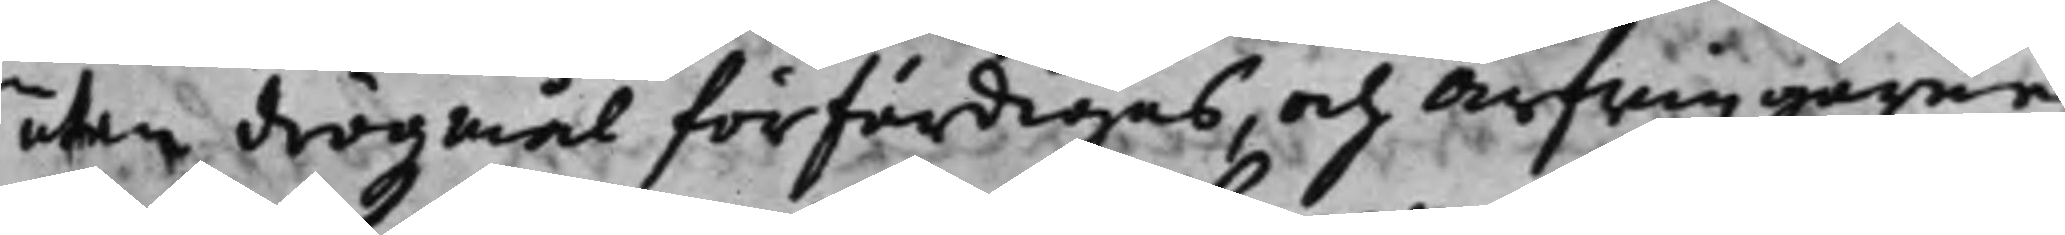utan drögzmål förfärdigas, och Arfwingarne
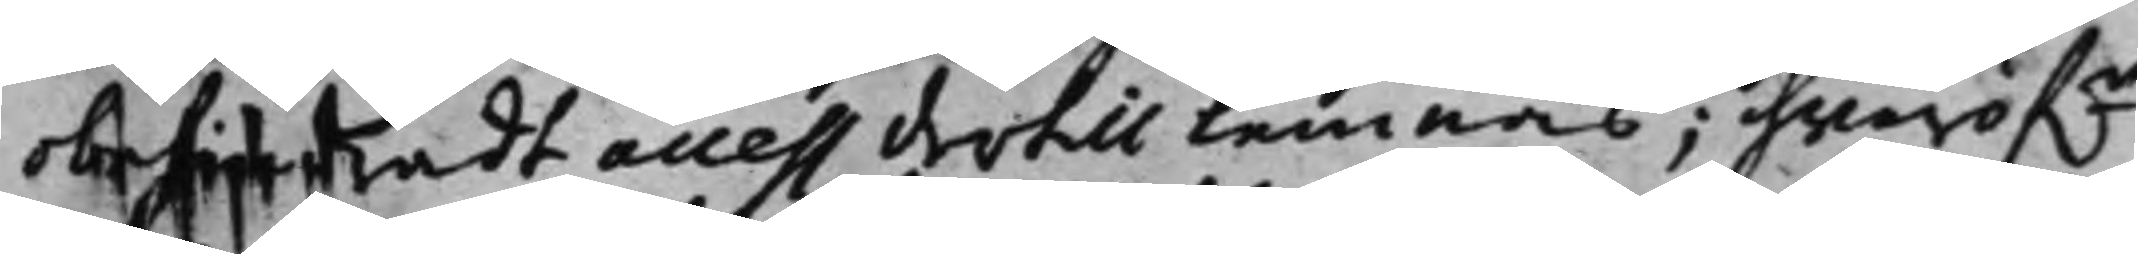obehindradt access dertill lemnas; hvaröf.r
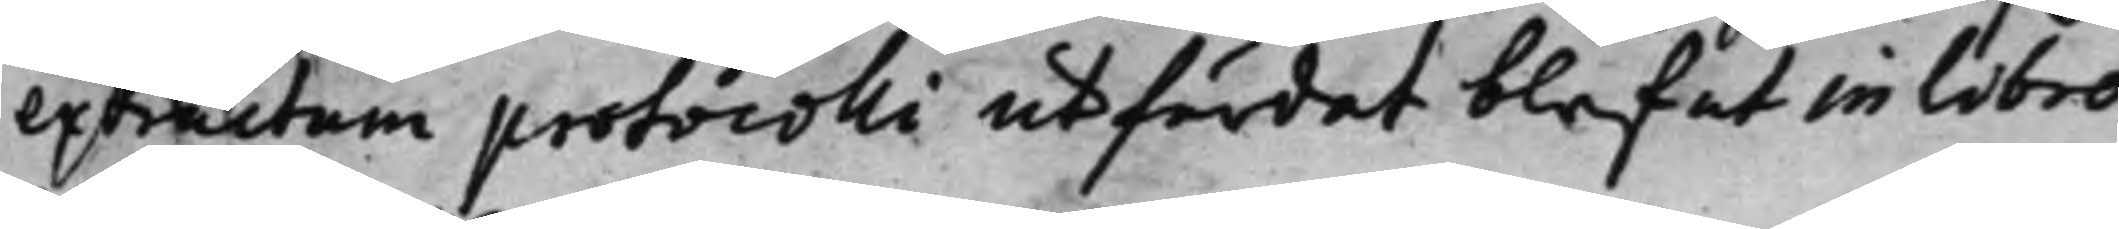extractum protocolli utfärdat blef ut in Libro
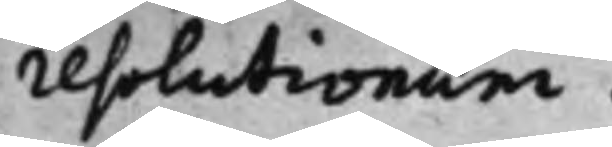resolutioner.
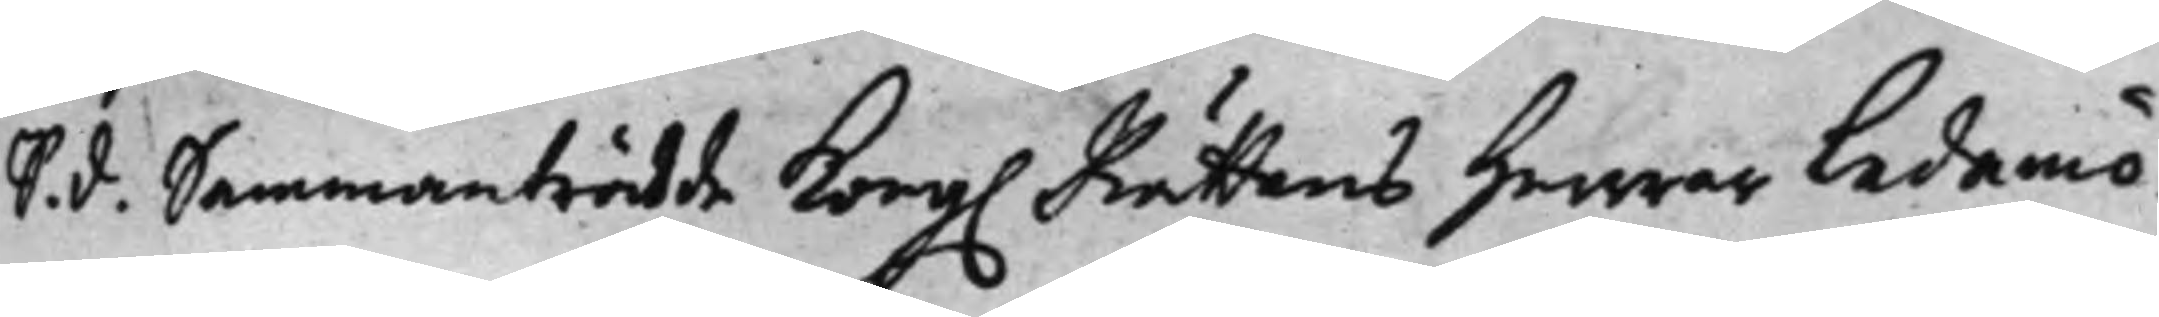S. d. Sammanträdde Kong. Rättens Herrar Ledamö¬
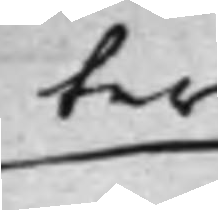ter
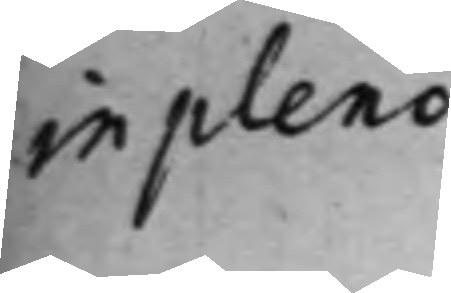in pleno
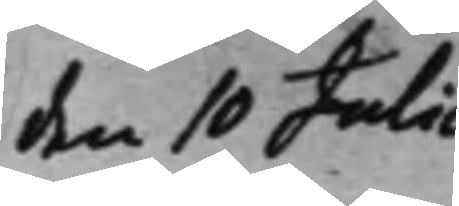den 10 Julii
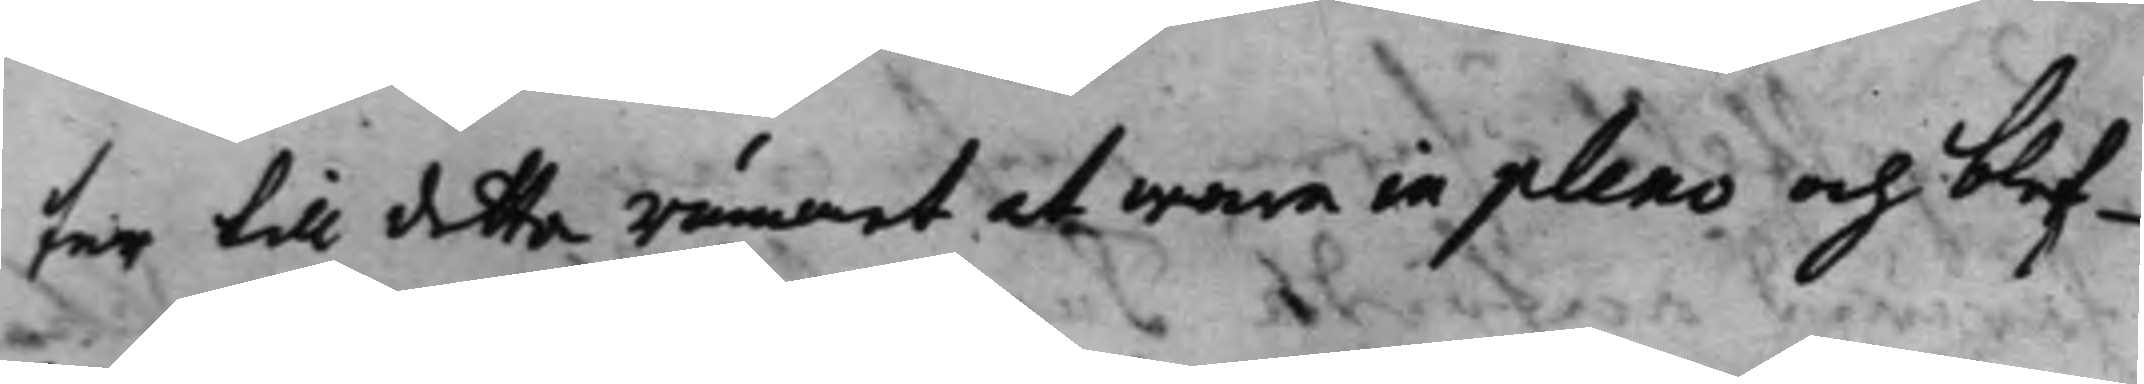ter till detta rummet att wara in pleno och blef¬
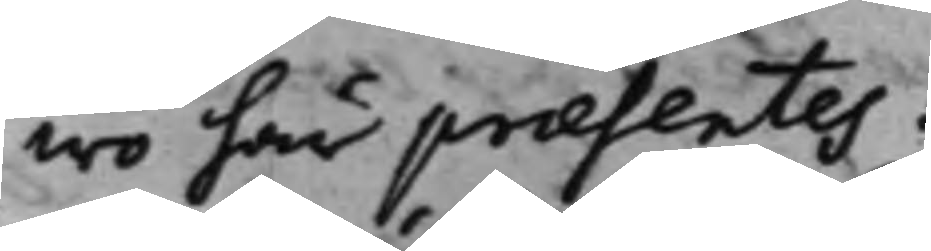wo har praesentes:
